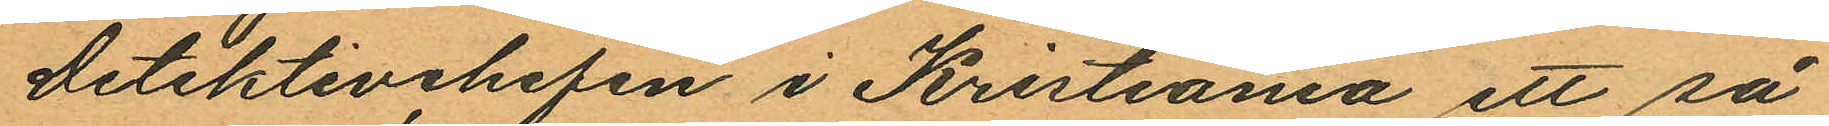Detektivchefen i Kristiania ett så
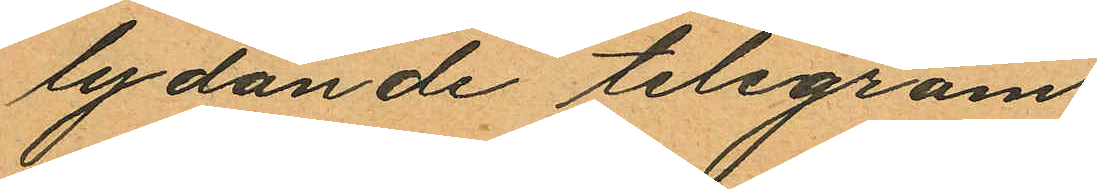lydande telegram
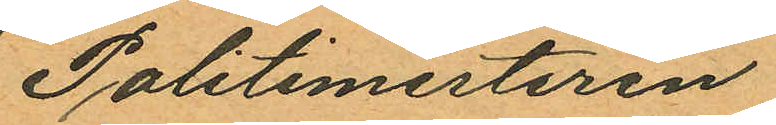Politimesteren
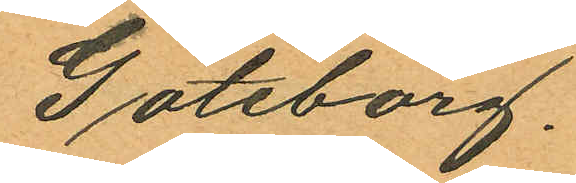Göteborg.
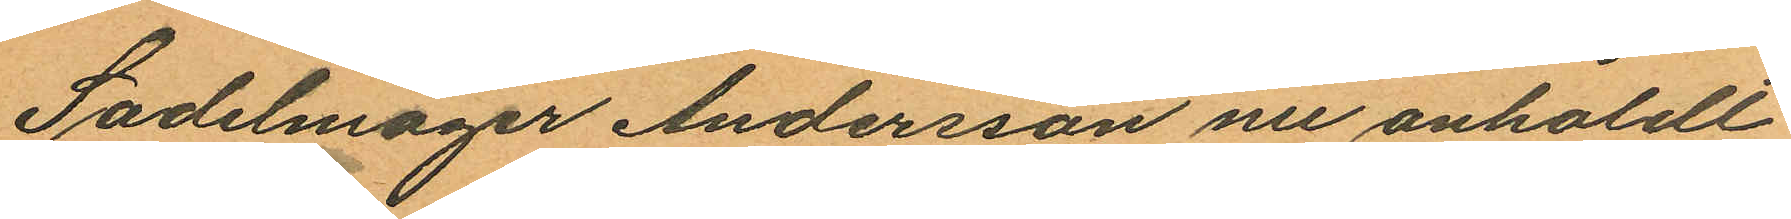Sadelmager Andersson nu anholdt
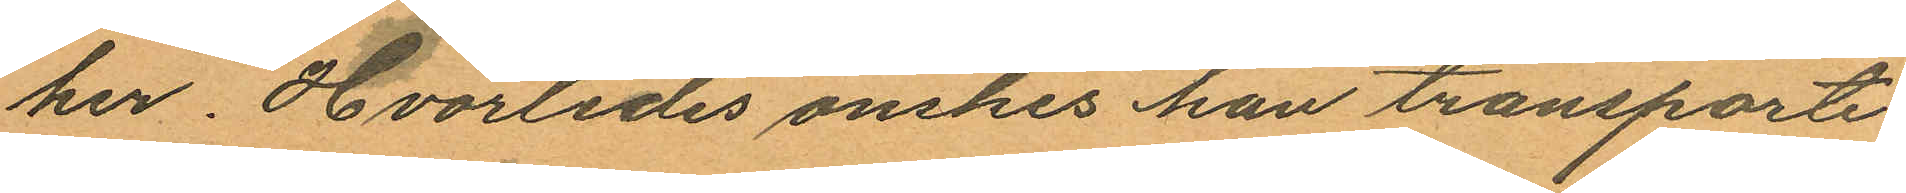her. Hvorledes önskes han transparte
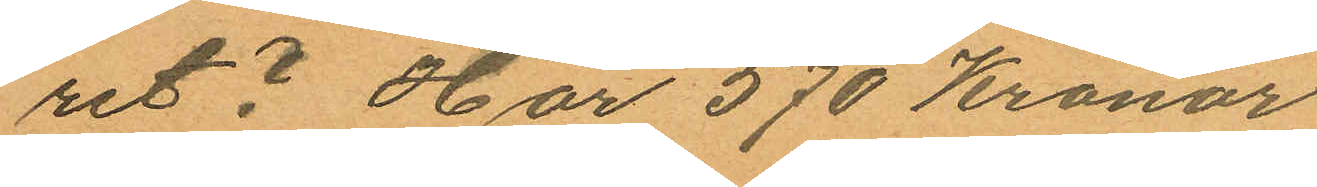ret? Har 570 Kronor
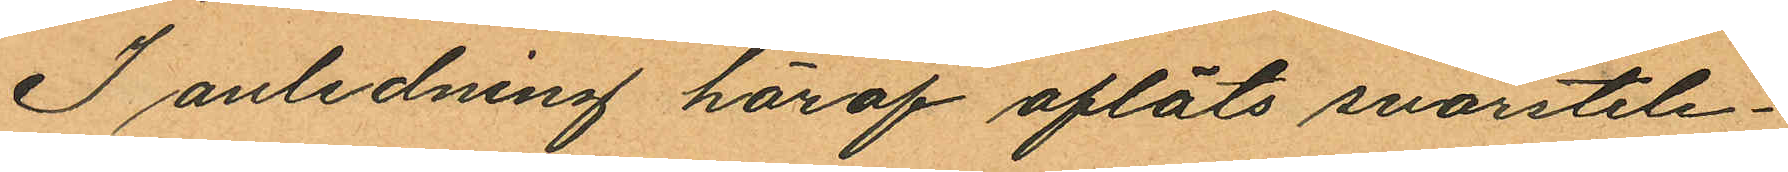I anledning häraf afläts svarstele¬
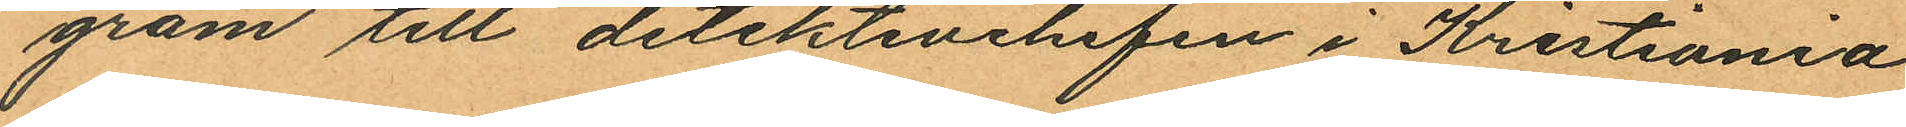gram till detektivchefen i Kristiania
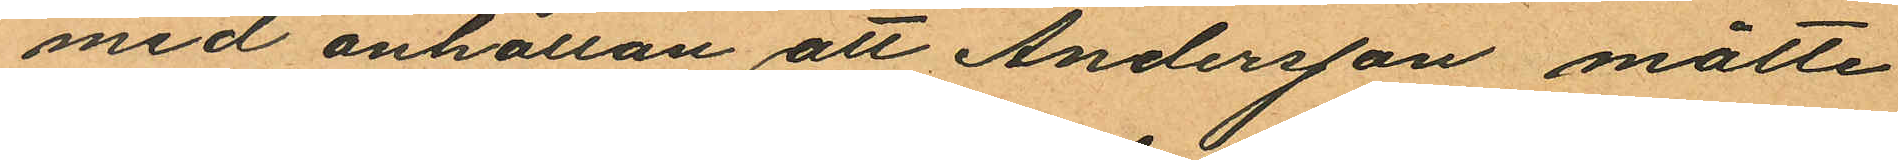med anhållan att Andersson måtte
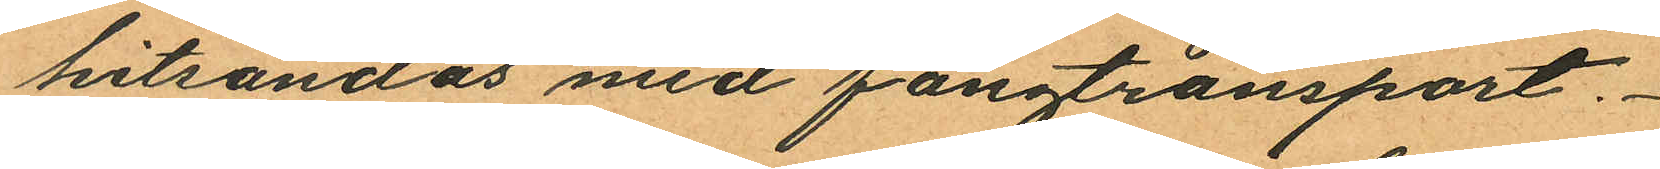hitsändas med fångtransport.
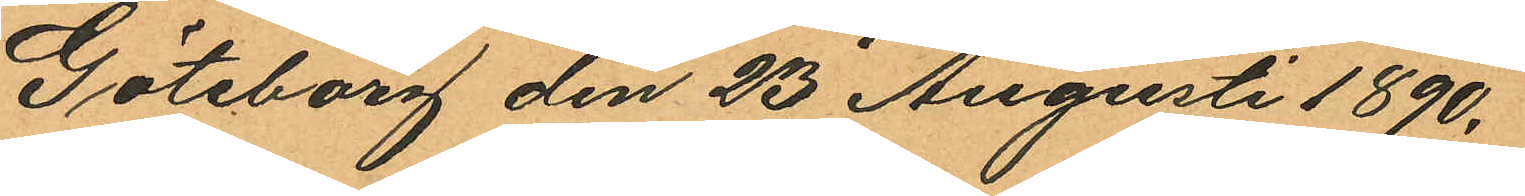Göteborg den 23 Augusti 1890.
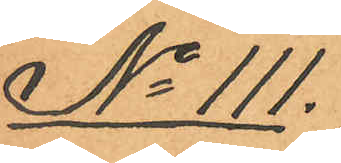No 111.
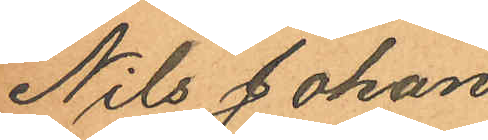Nils Johan
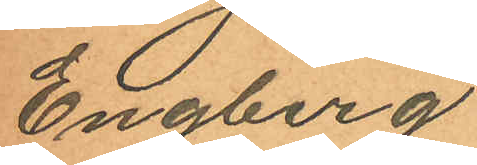Engberg
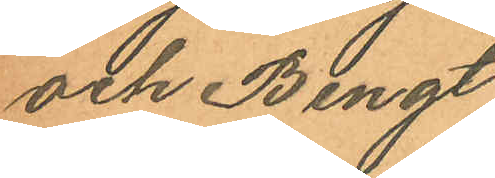och Bengt
